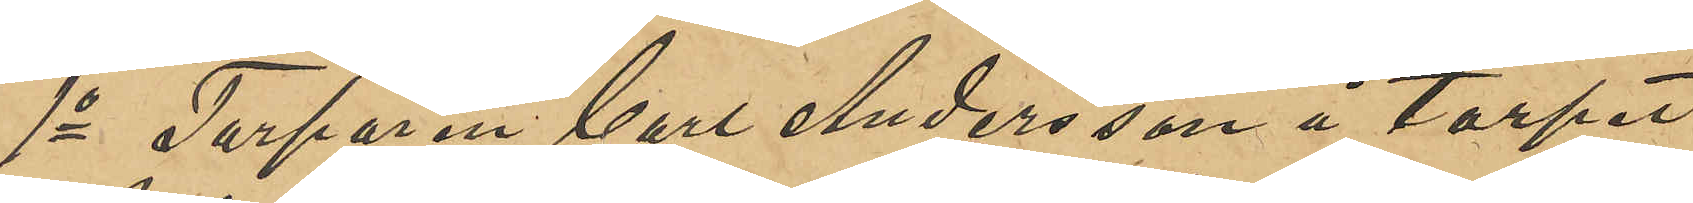1o Torparen Carl Andersson å torpet
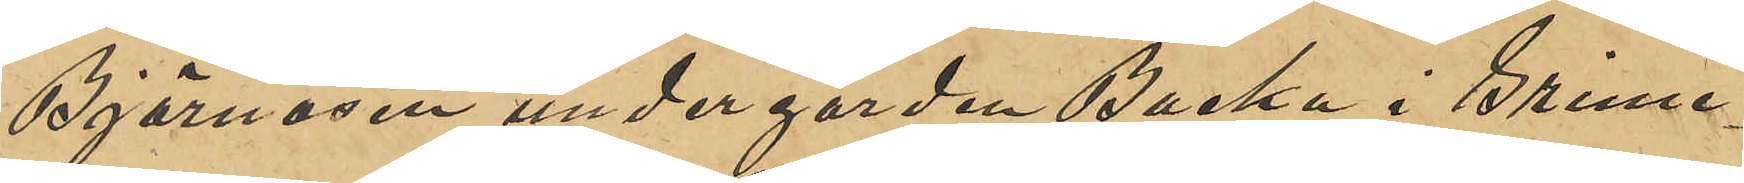Björnåsen under gården Backa i Grime¬
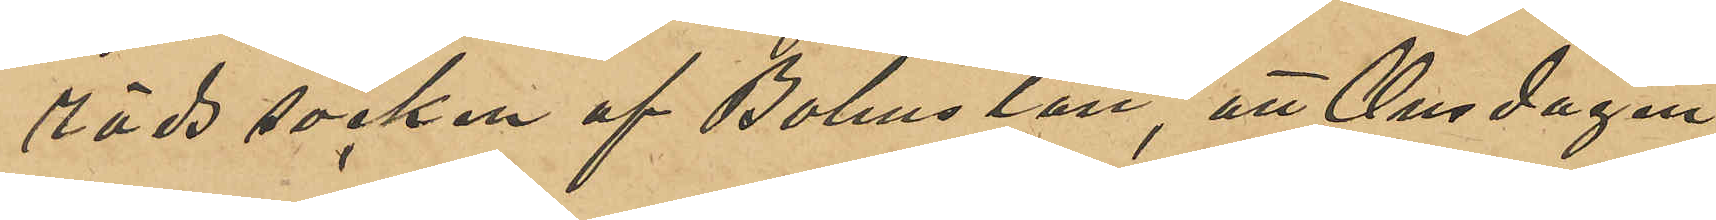röds socken af Bohus län, att Onsdagen
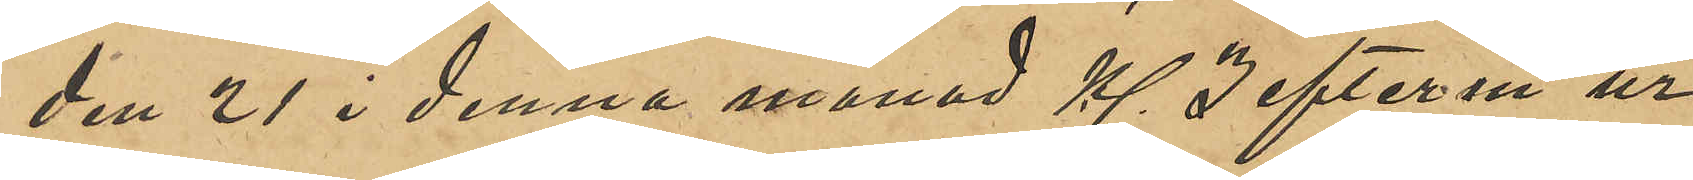den 21 i denna månad Kl 3 efterm ur
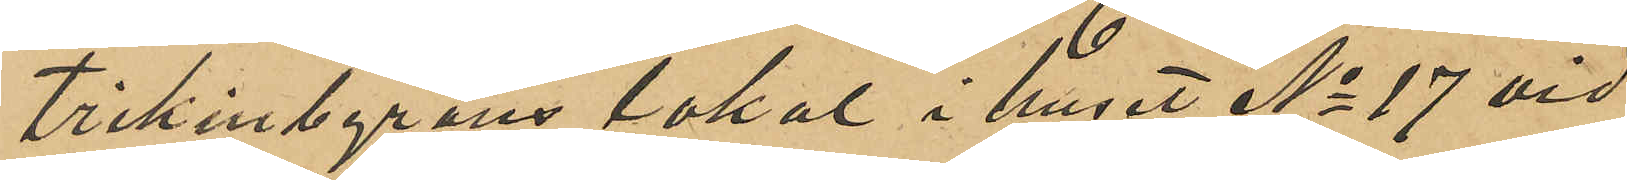Trikinbyråns lokal i huset No 17 vid
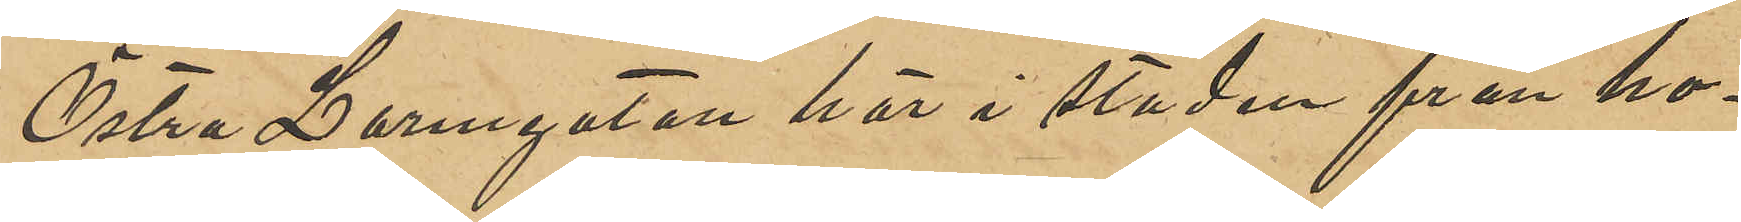Östra Larmgatan här i staden från ho¬
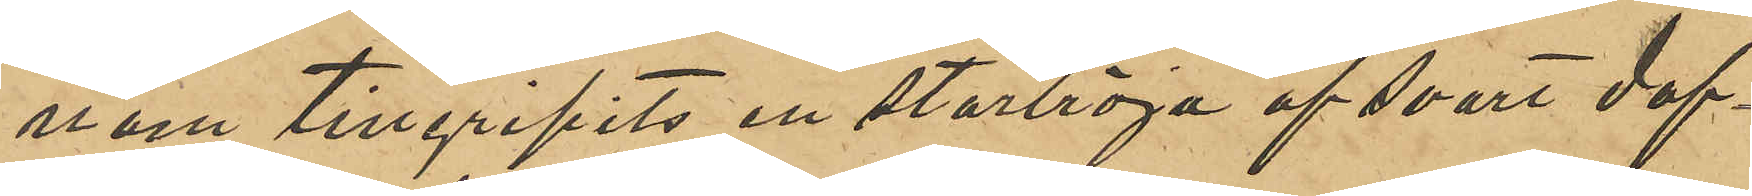nom tillgripits en stortröja af svart dof¬
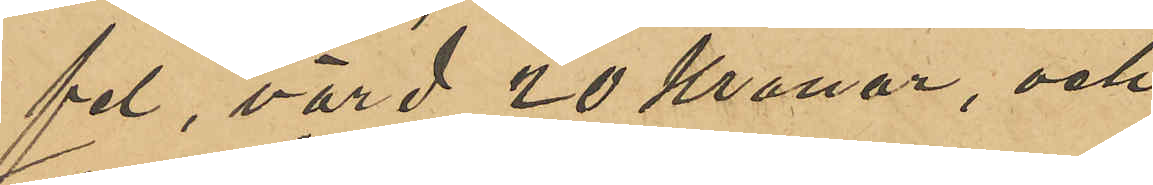fel, värd 29 Kronor, och
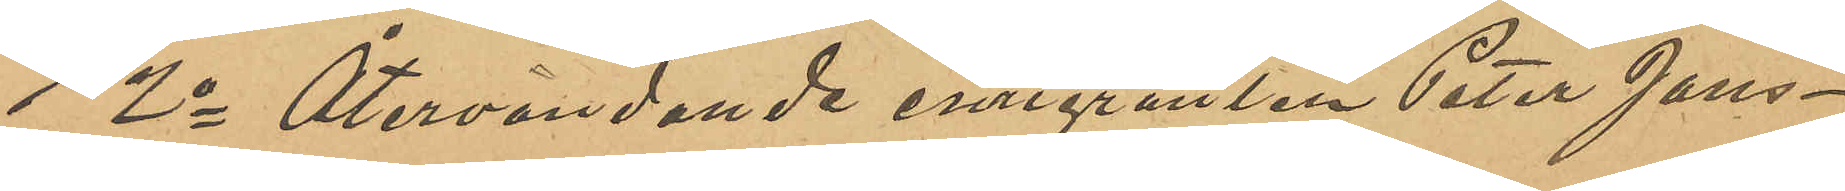2o Återvändande emigranten Peter Jans¬
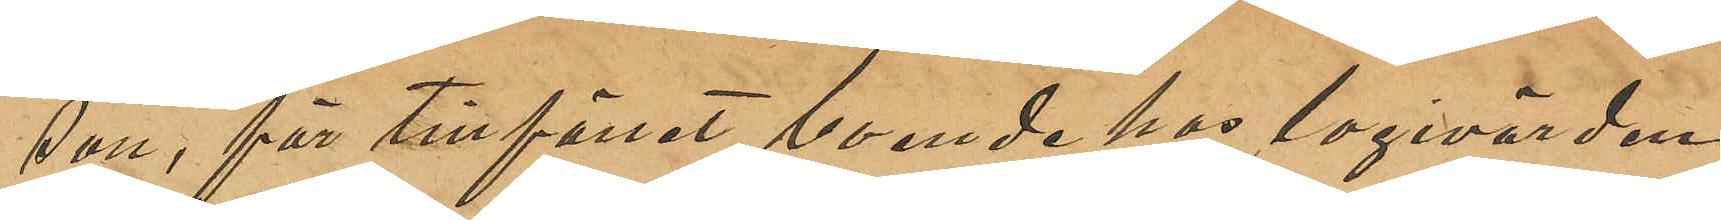son, för tillfället boende hos logivärden
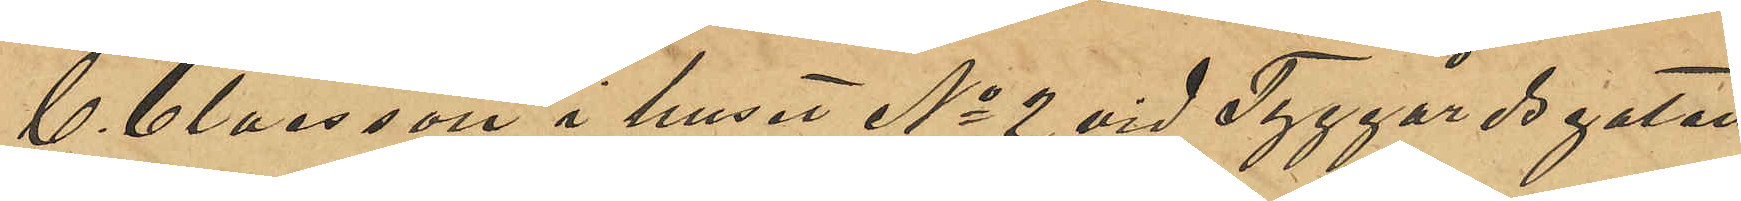C. Claesson i huset No 2 vid Tyggårdsgatan
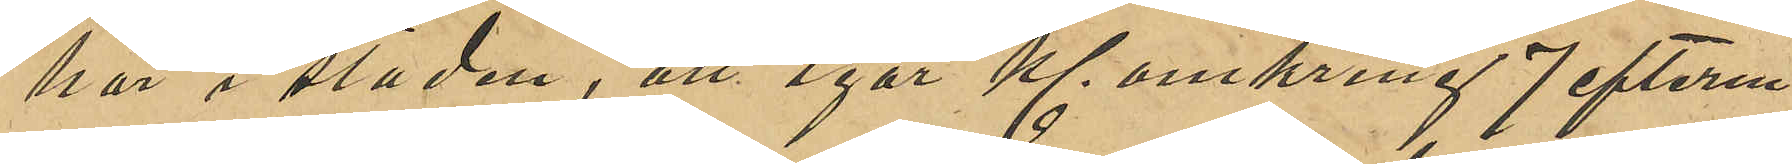här i staden, att igår Kl omkring 7 efterm.
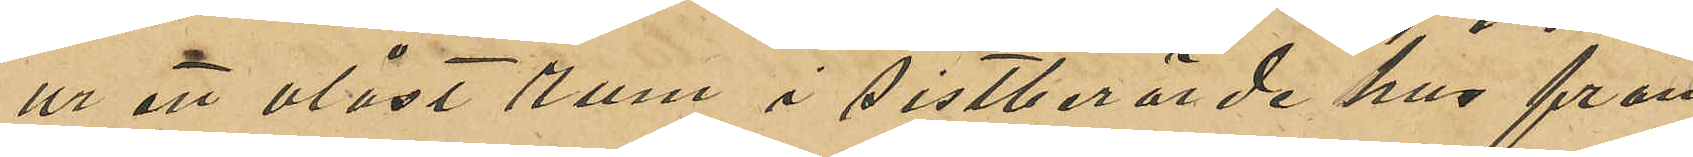ur ett olåst rum i sistberörde hus från
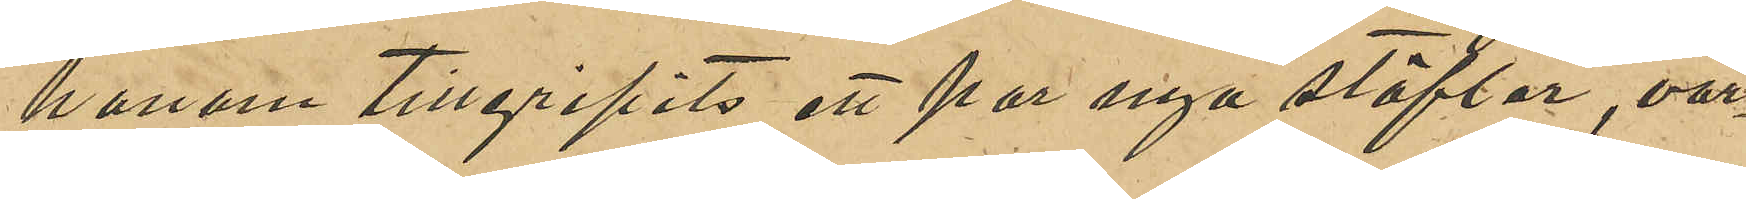honom tillgripits ett par nya stöflar, vär¬
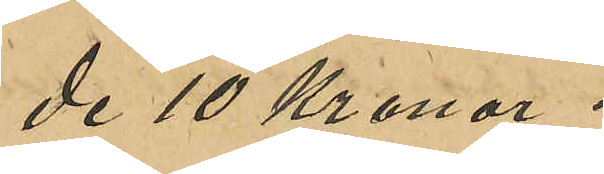de 10 Kronor.
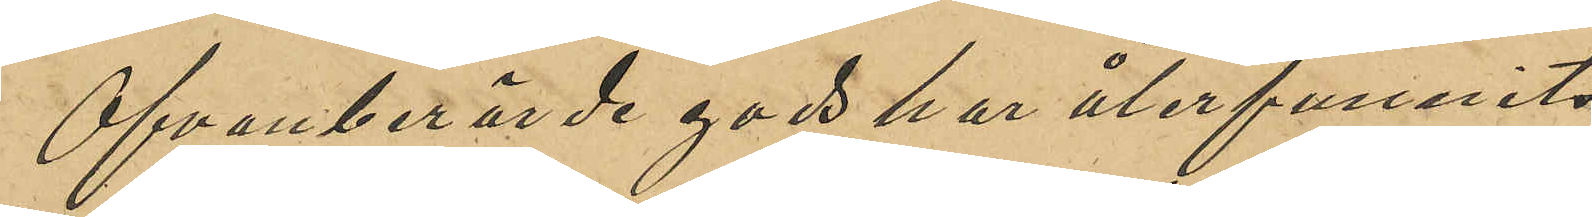Ofvanberörde gods har återfunnits
